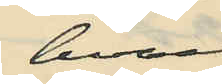hvarvid
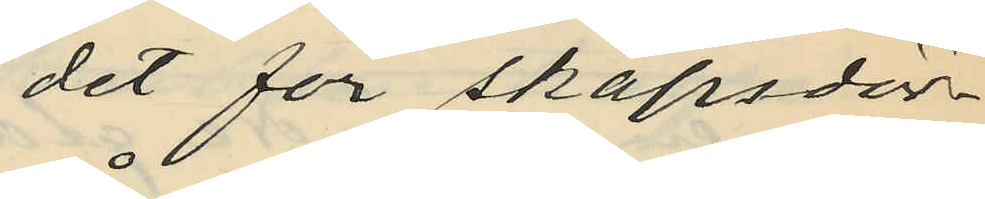det för skåpsdör¬
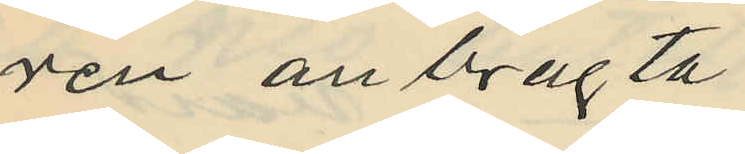ren anbragta
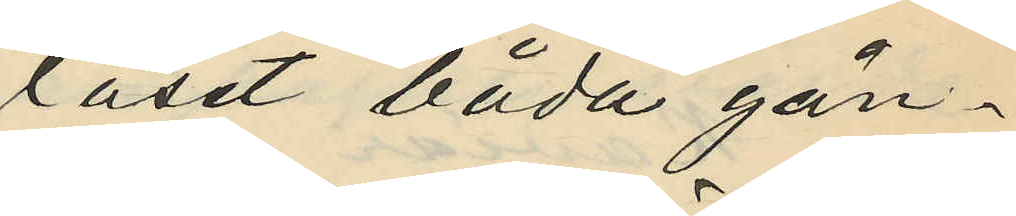låset båda gån¬
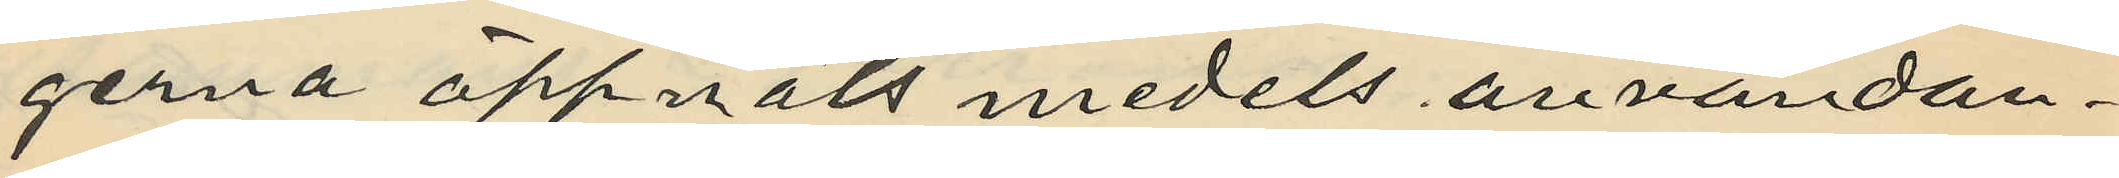gerna öppnats medels användan¬
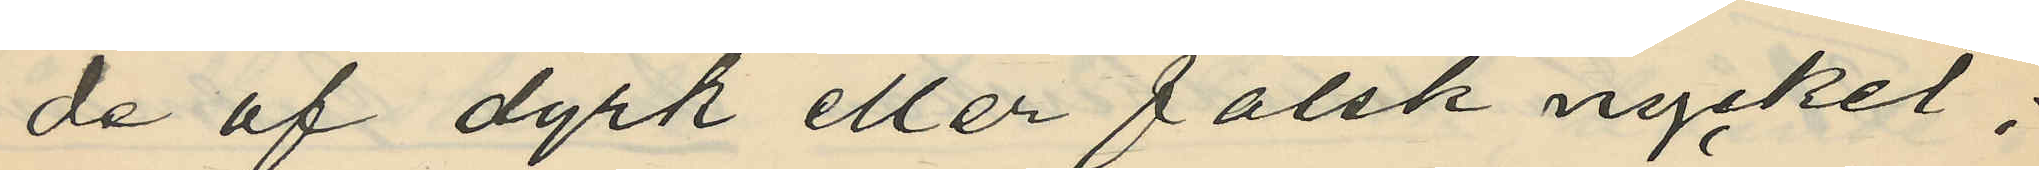de af dyrk eller falsk nyckel;
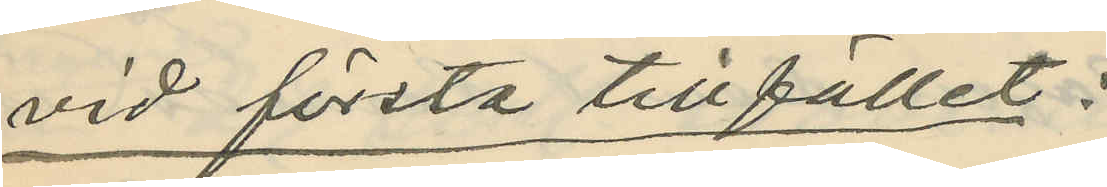vid första tillfället;
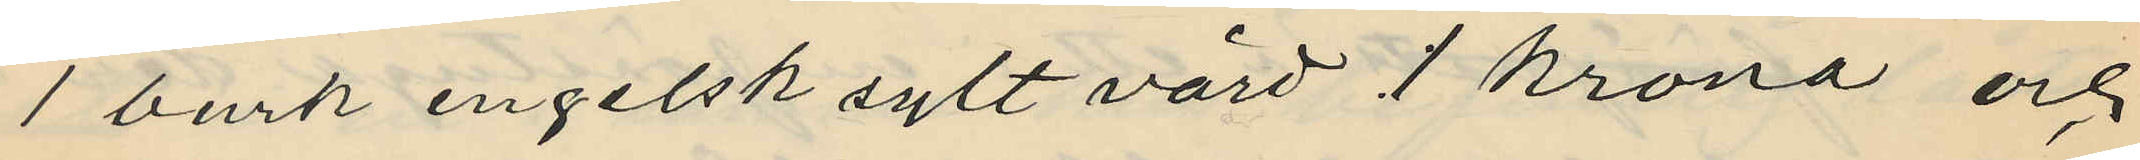1 burk engelsk sylt värd 1 krona och
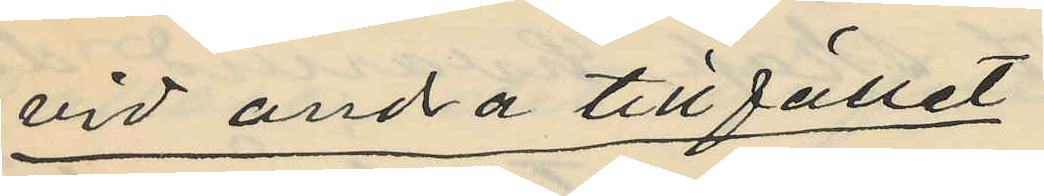vid andra tillfället
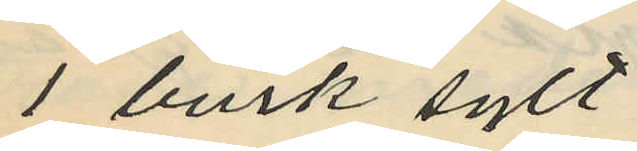1 burk sylt
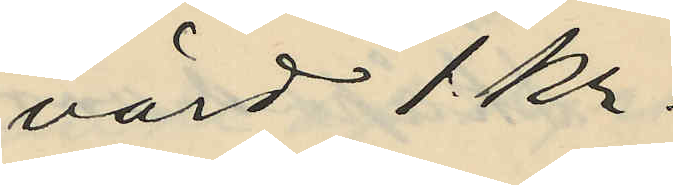värd 1 kr.
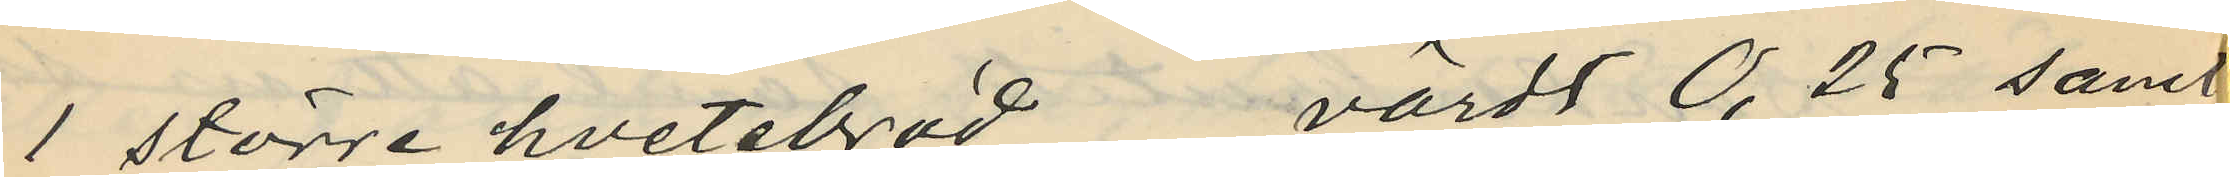1 större hvetebröd värdt 0,25 samt
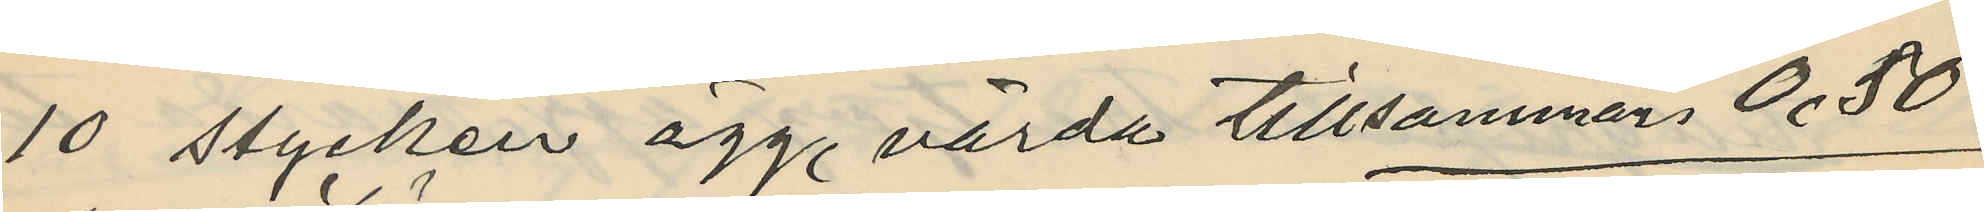10 stycken ägg, värda tillsammans 0.50
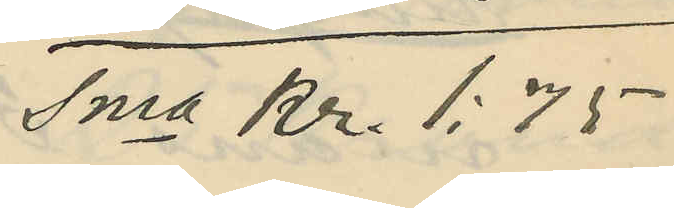Sma Kr. 1:75
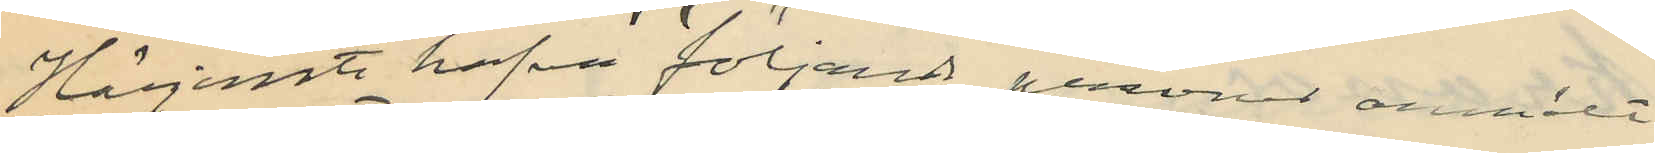Härjemte hafva följande personer anmält
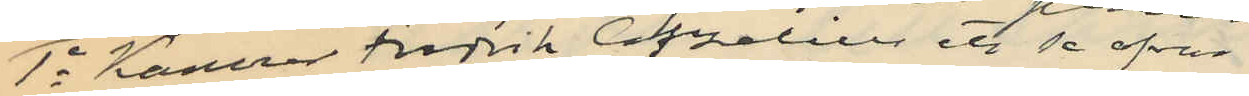1o Kamrer Fredrik Capelin ett se ofvan
